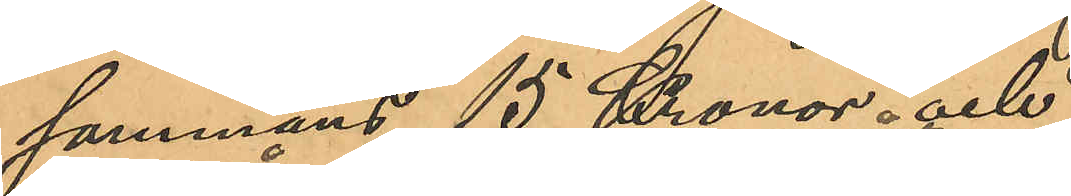sammans 15 Kronor och
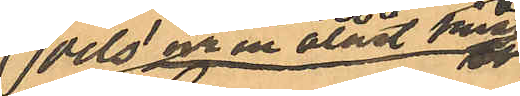dels ur en  olåst kista
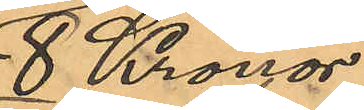8 Kronor
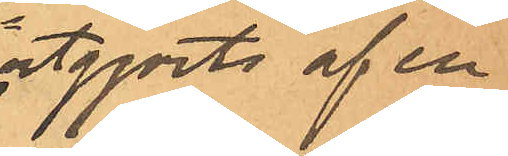som utgjorts af en
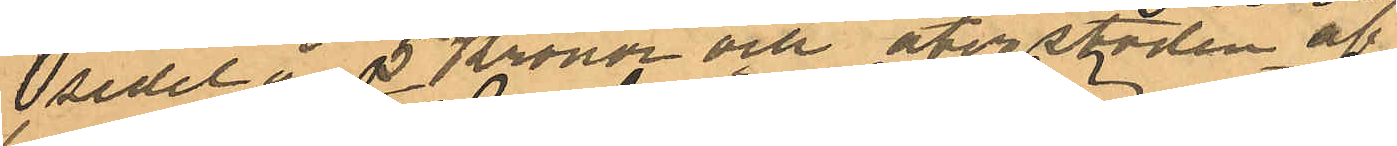sedel å 5 Kronor och återstoden af
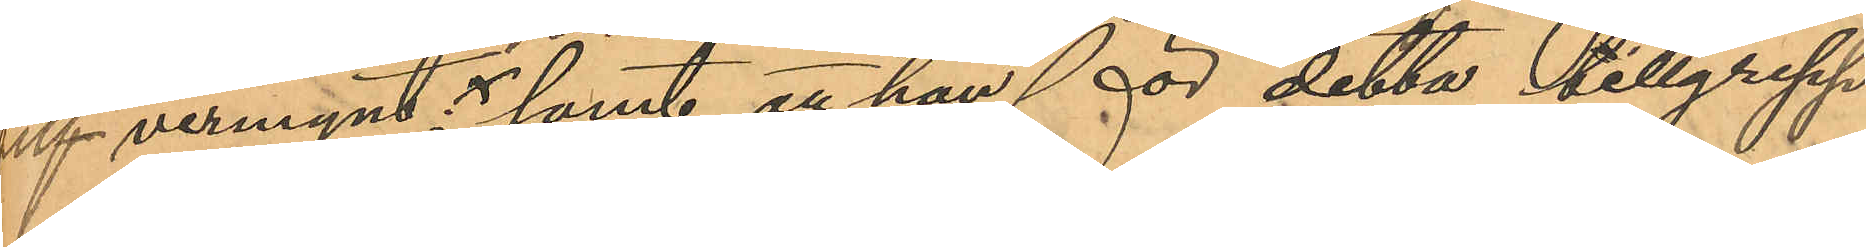silfvermynt; samt att han för detta tillgrepp
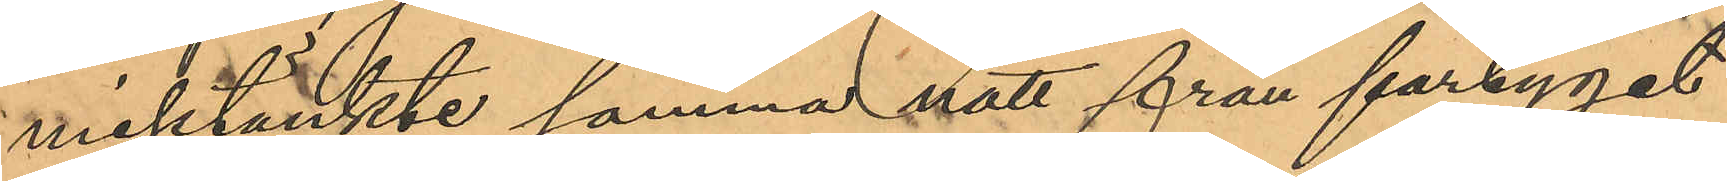misstänkte samma natt från fartyget
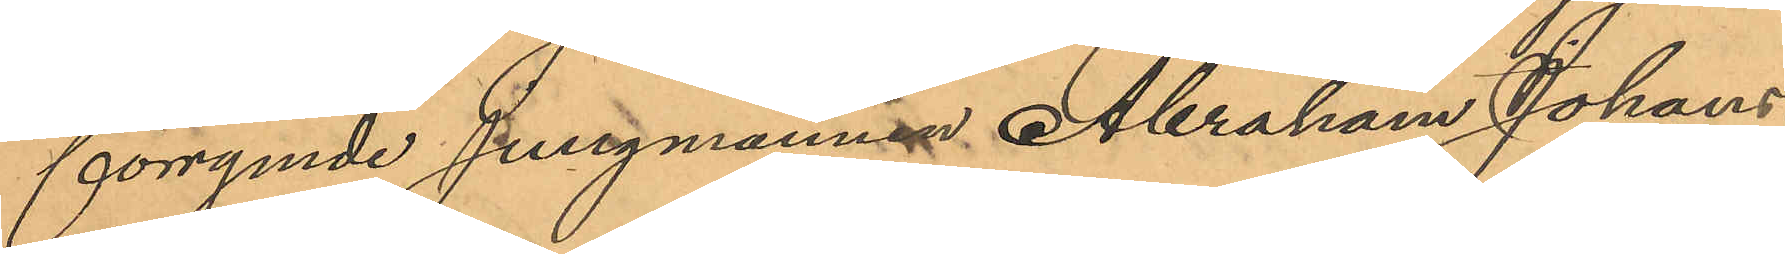förrymde jungmannen Abraham Johans¬
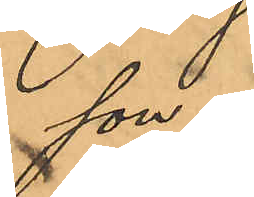son.
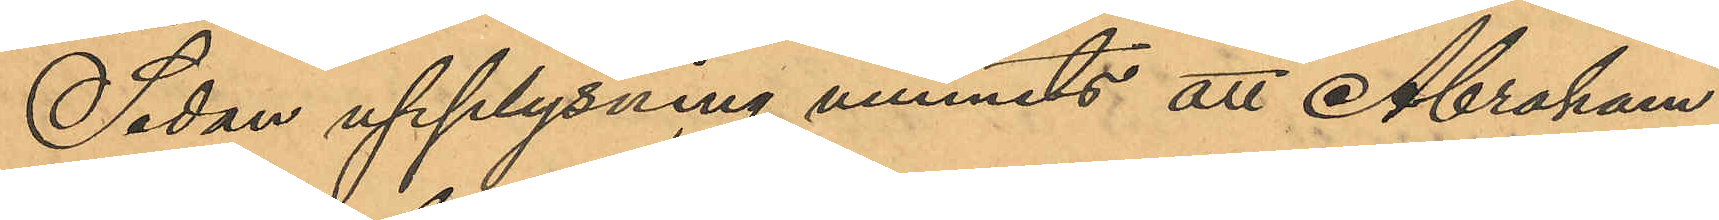Sedan upplysning vunnits att Abraham
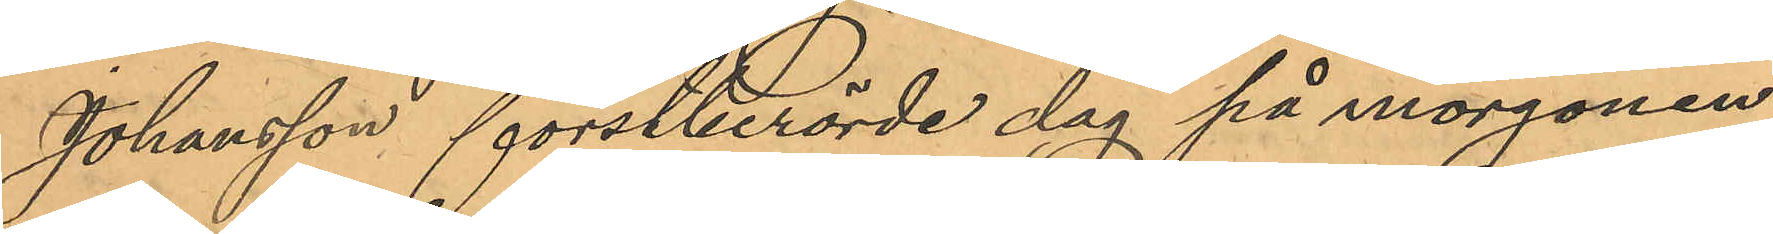Johansson förstberörde dag på morgonen
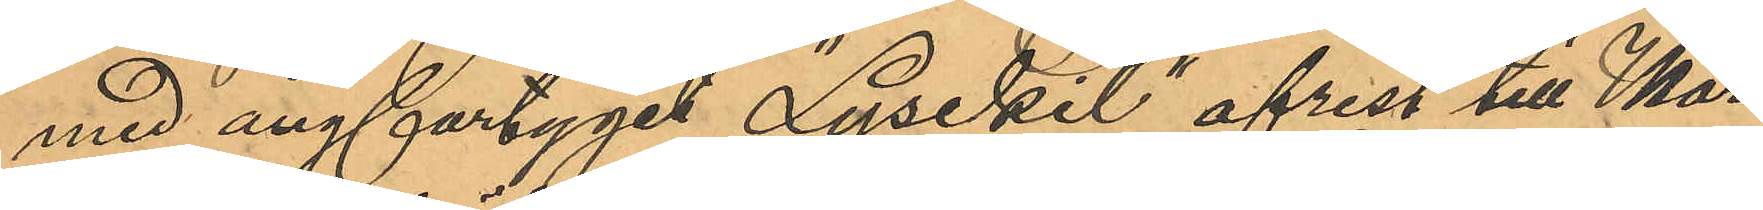med ångfartyget "Lysekil" afrest till Mar¬
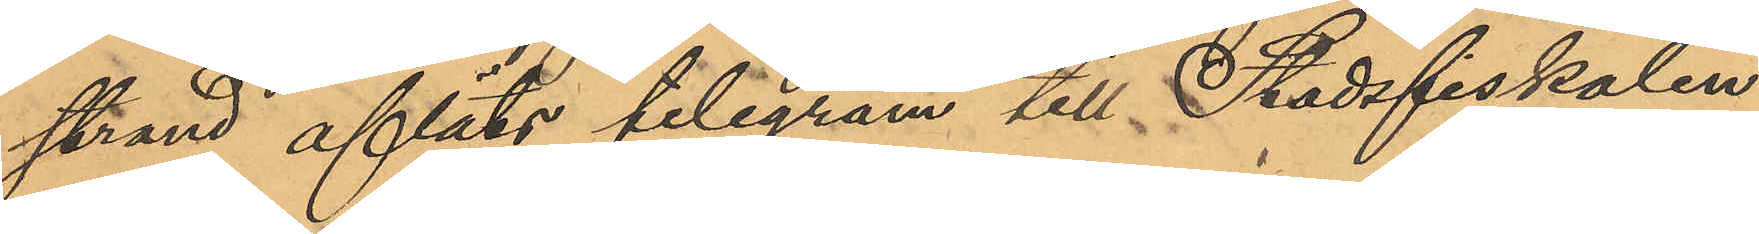strand afläts telegram till Stadsfiskalen
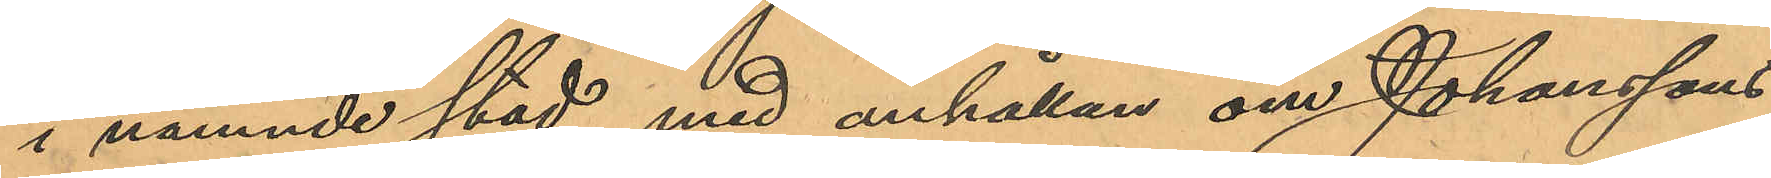i nämnde stad med anhållan om Johanssons
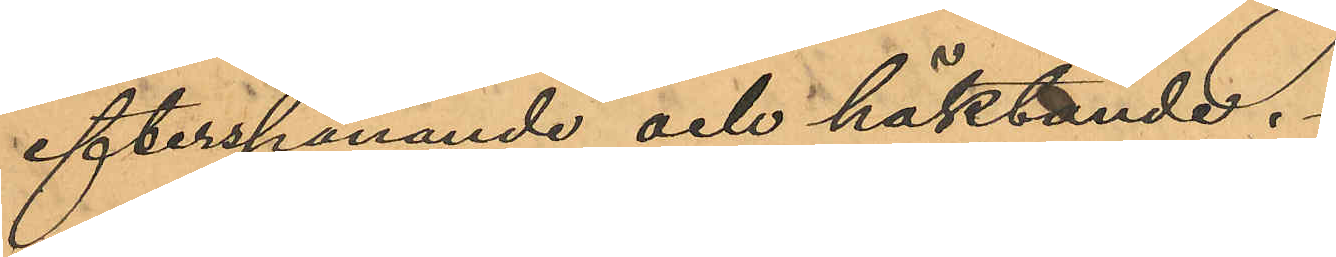efterspanande och häktande.
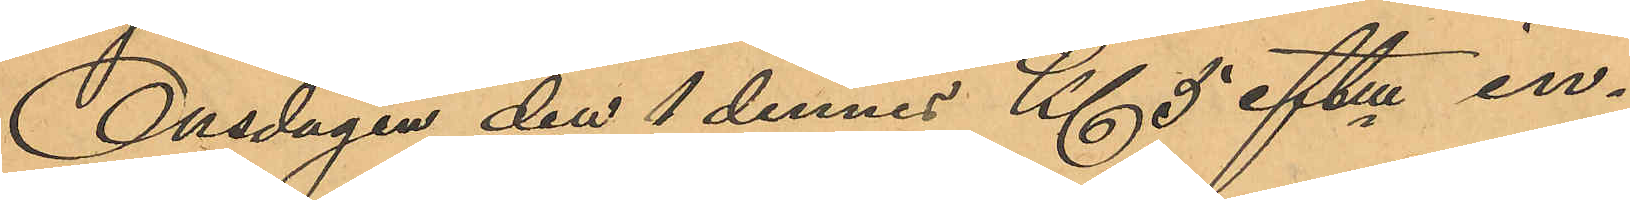Onsdagen den 1 dennes Kl 5 eftm in¬
